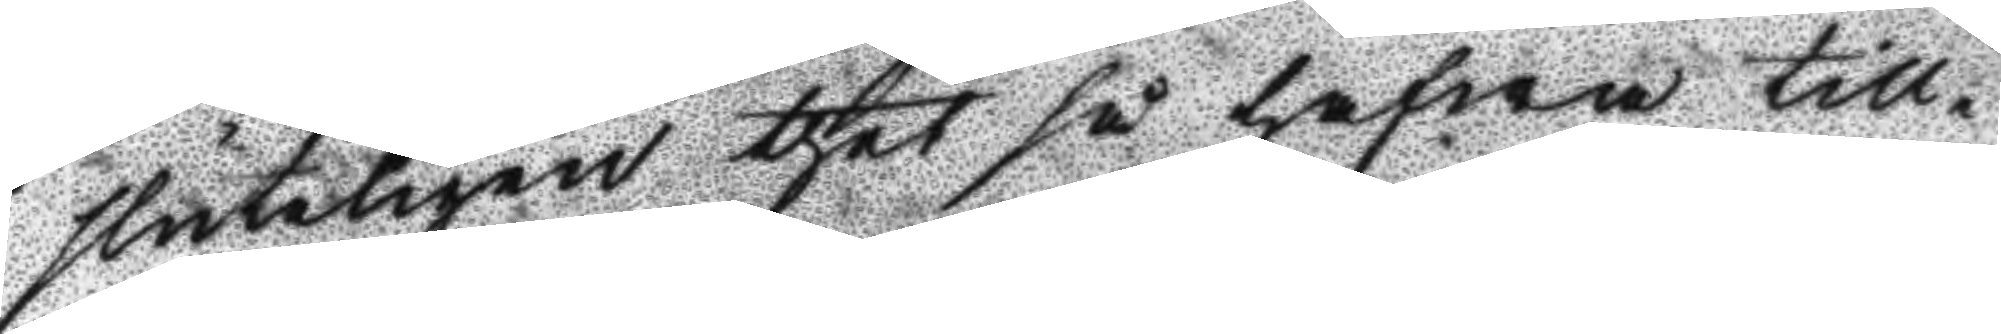sluteligen thet så hafwa till¬
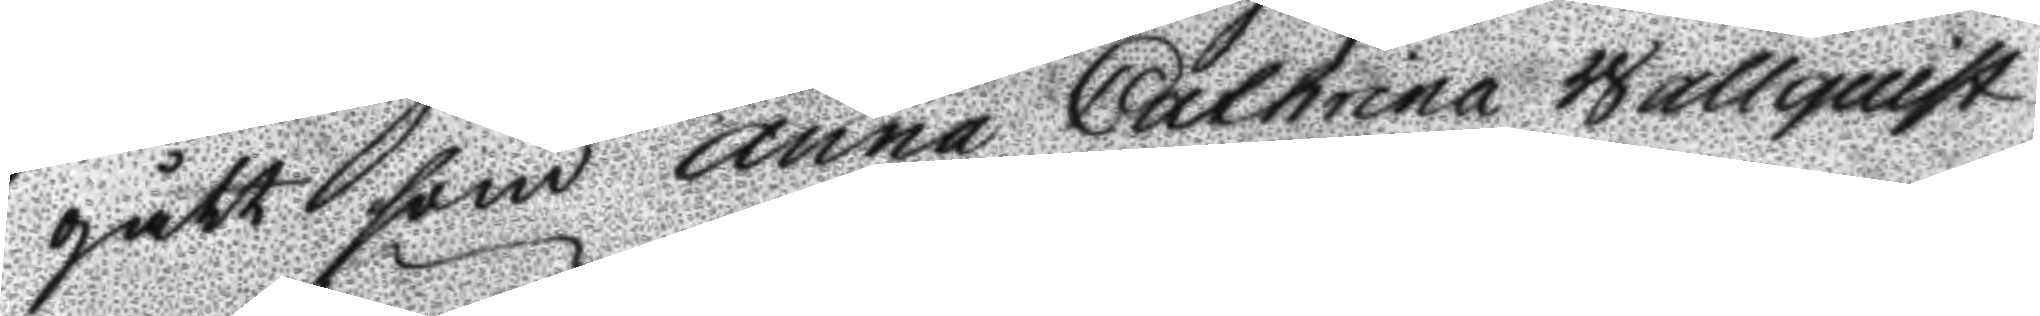gått som Anna Catharina Wallquist
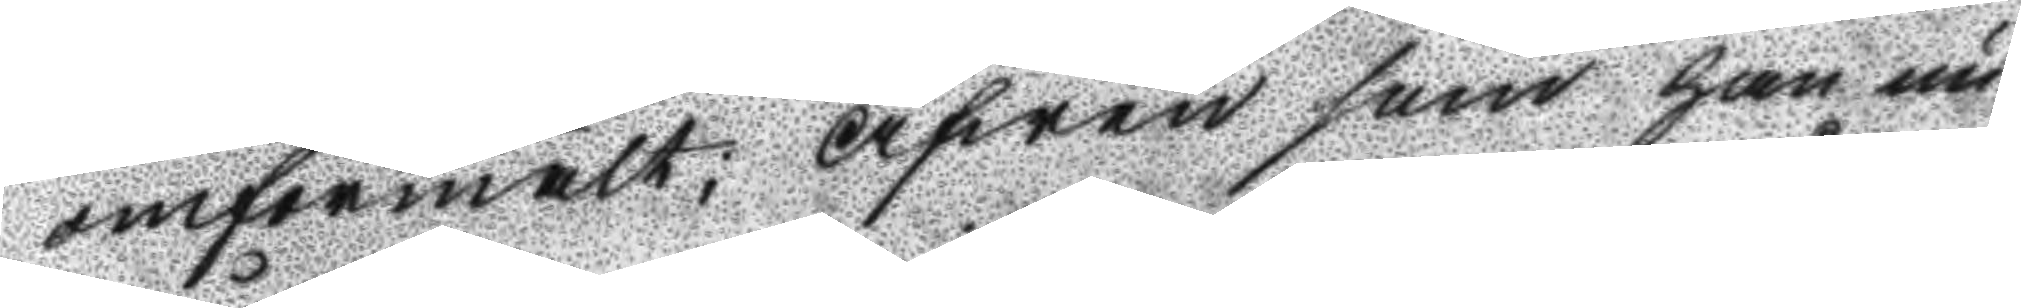omförmält; Afwen som han nu
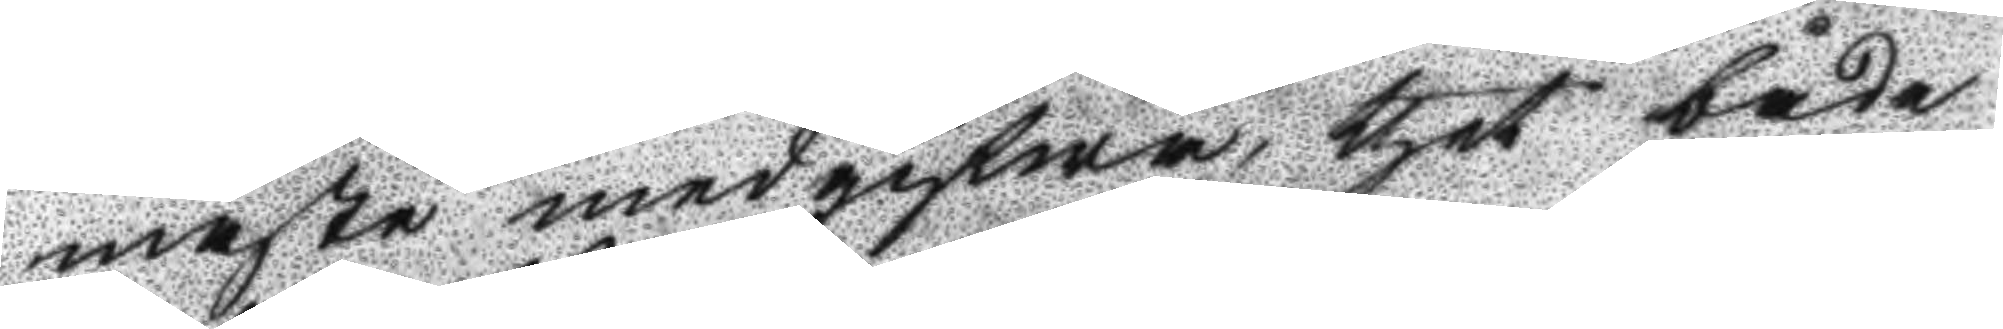måste medgifwa thet både
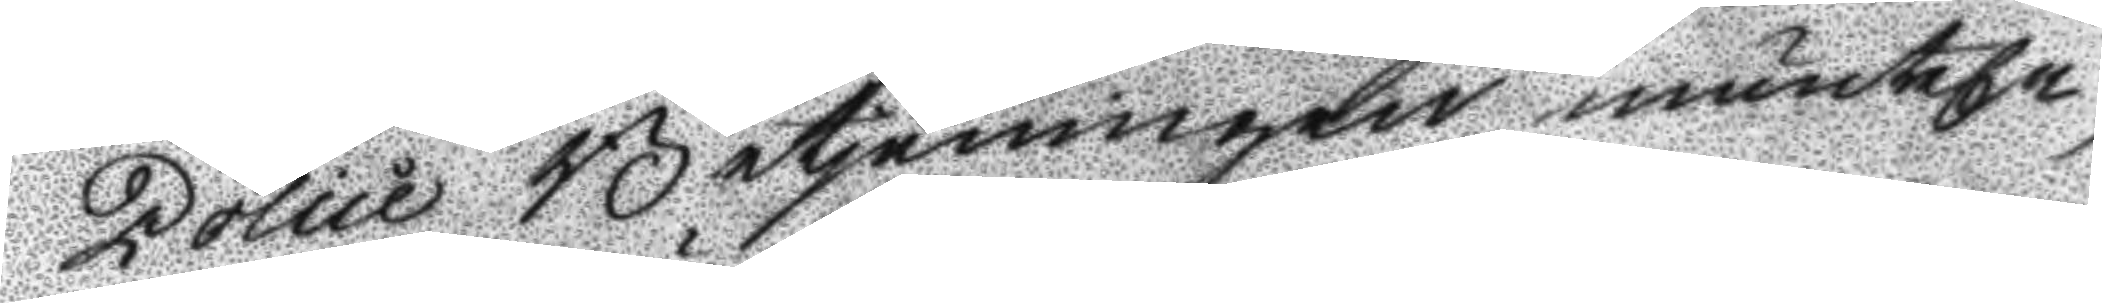Police Betjeningen munteln
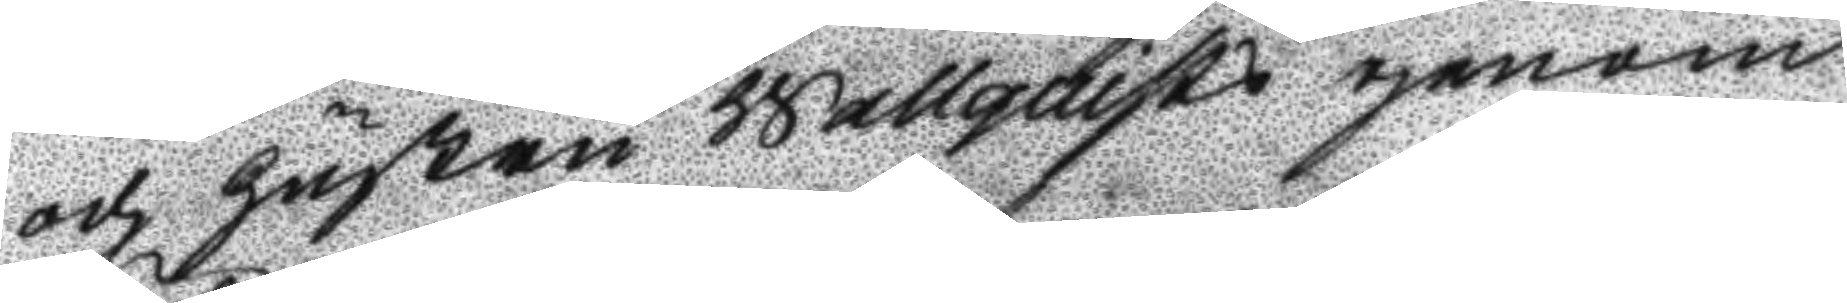och hustru Wallquist genom
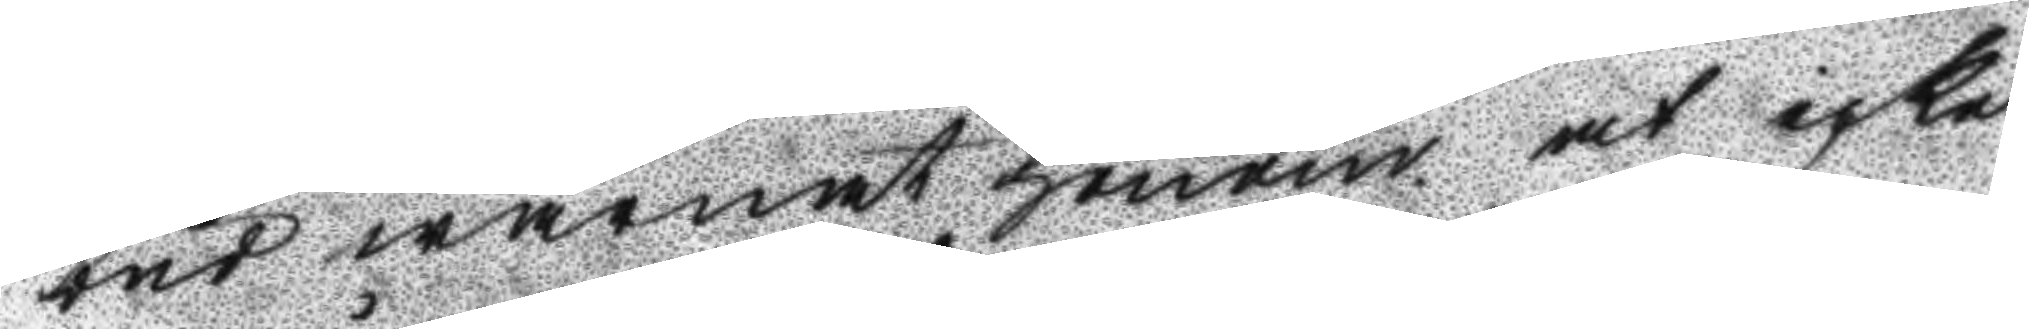bud warnat honom at icke
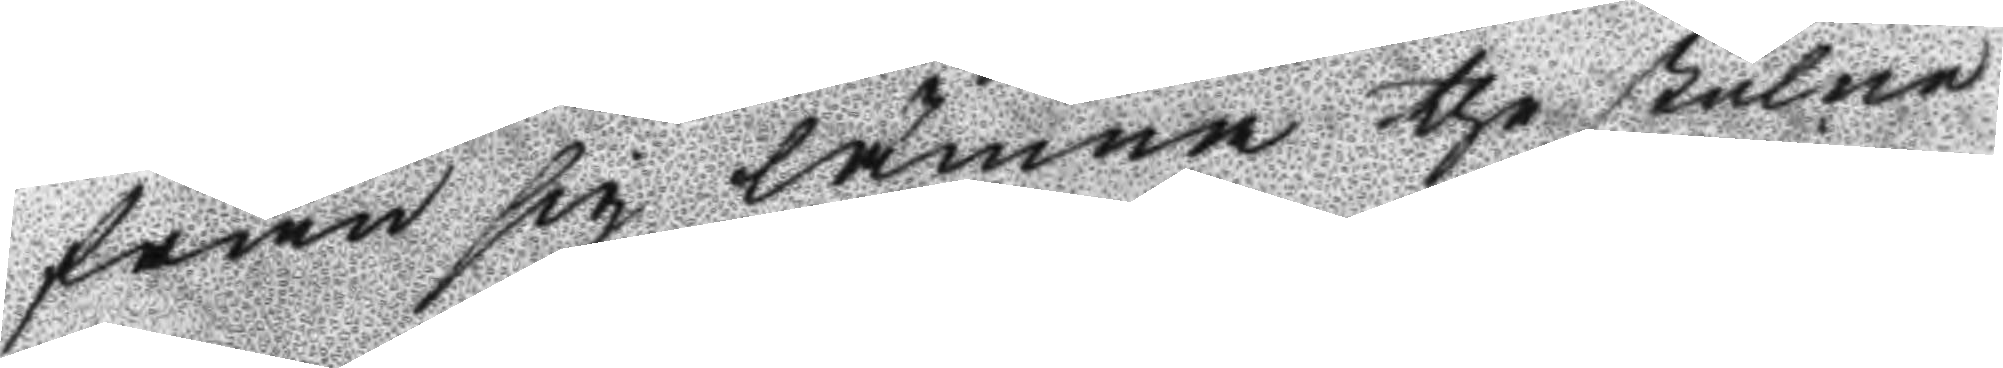från sig lämna the stulne
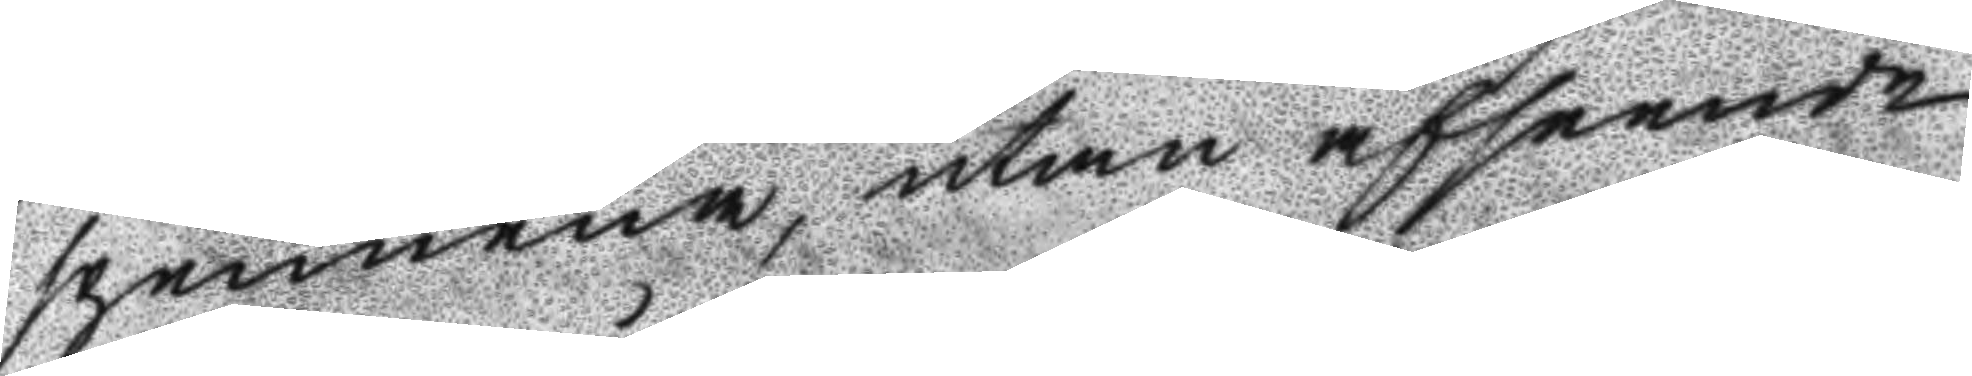spennena, utan afseende
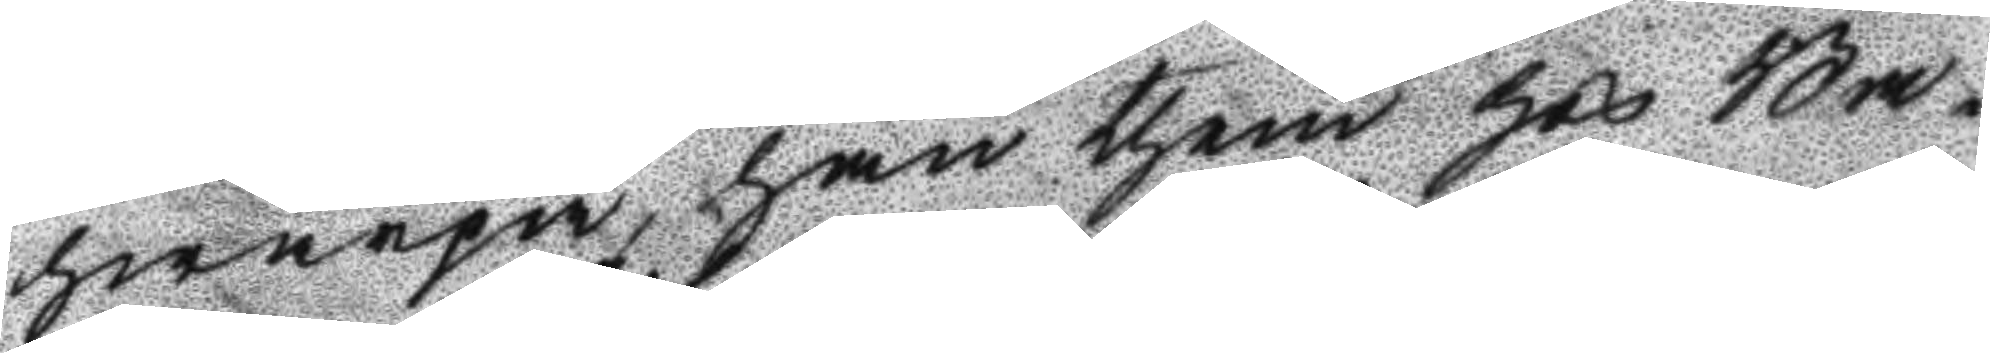hwarpå, han them hos Ba¬
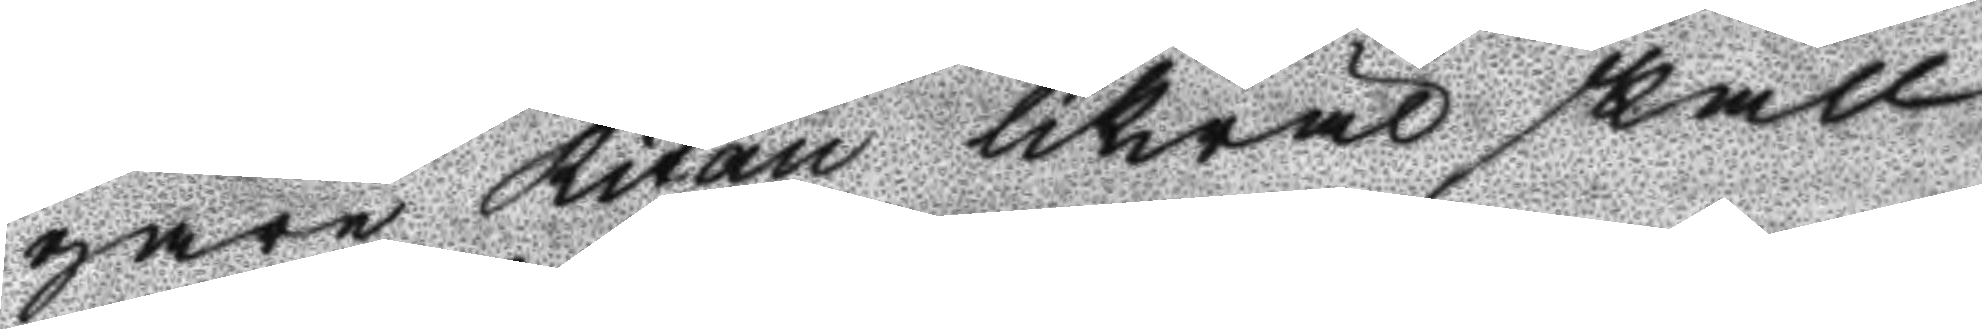gare Ritan likwäl skall
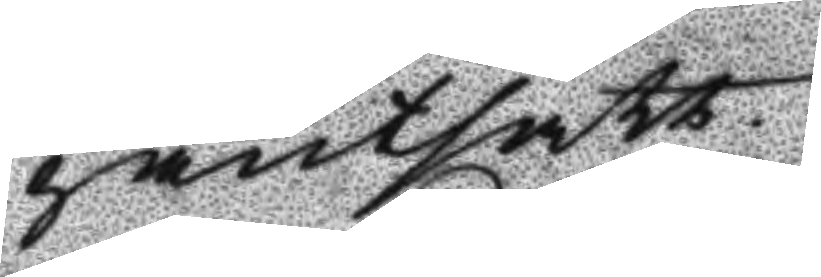pantsatt.
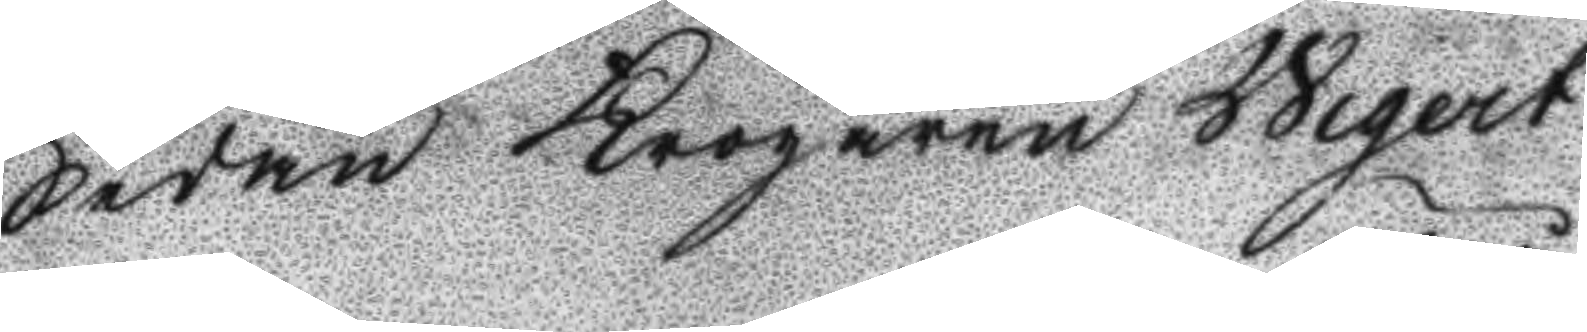Sedan Krögaren Wigert
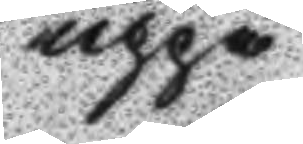uppå
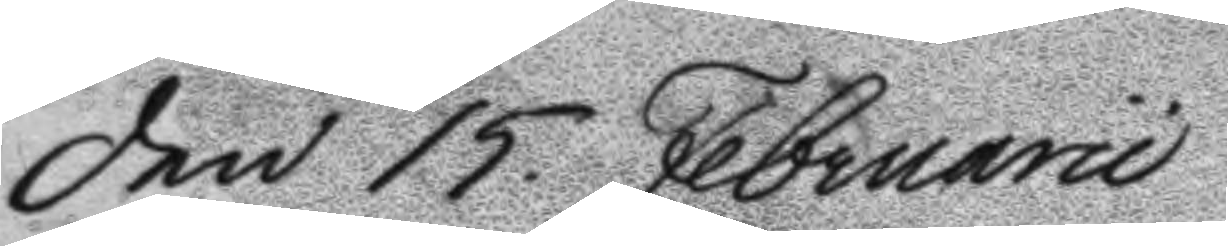Den 15. Februarii
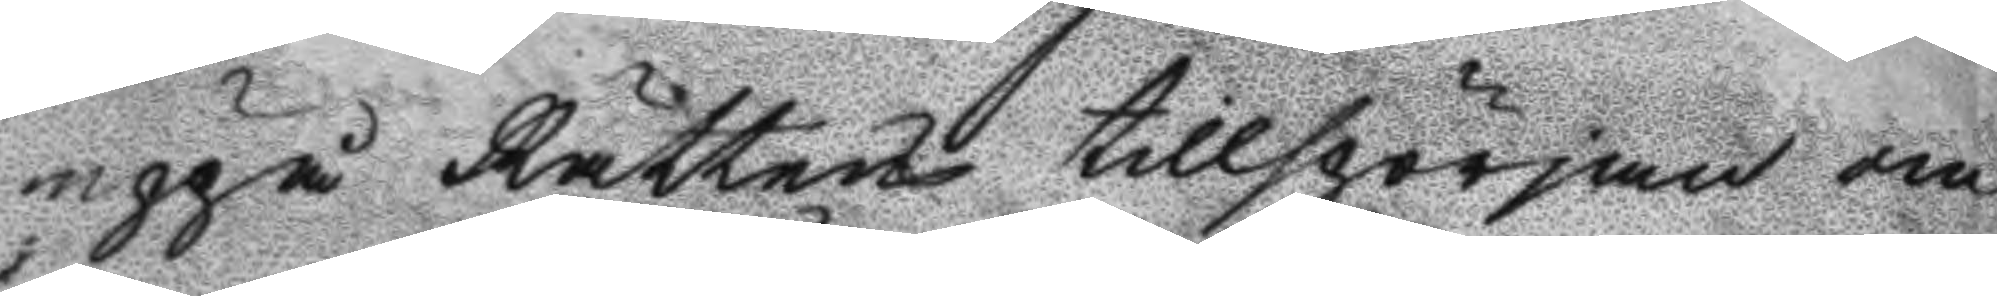uppå Rättens tillspörjan om
